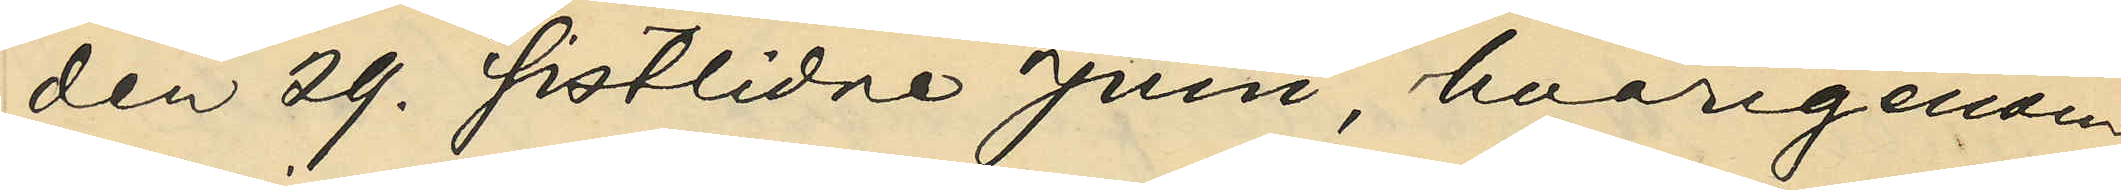den 29. sistlidne Juni, hvarigenom
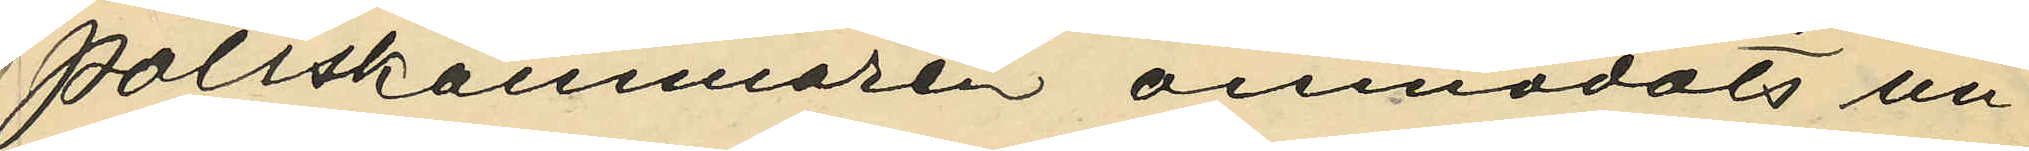Poliskammaren anmodats un¬
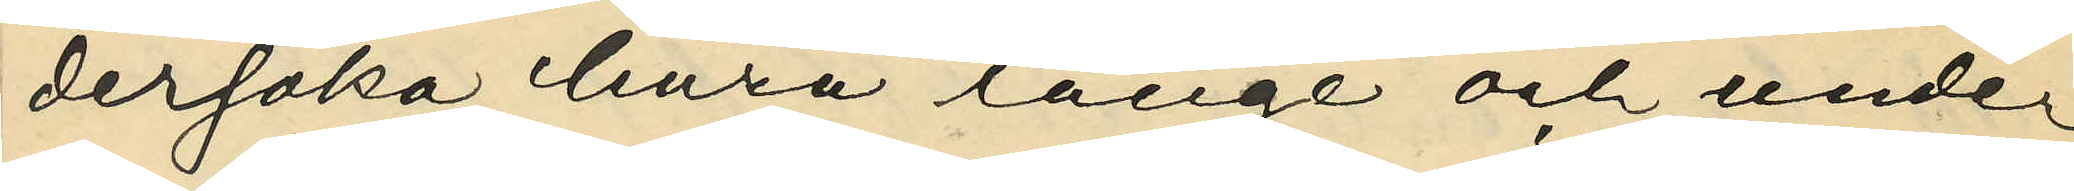dersöka, huru länge och under
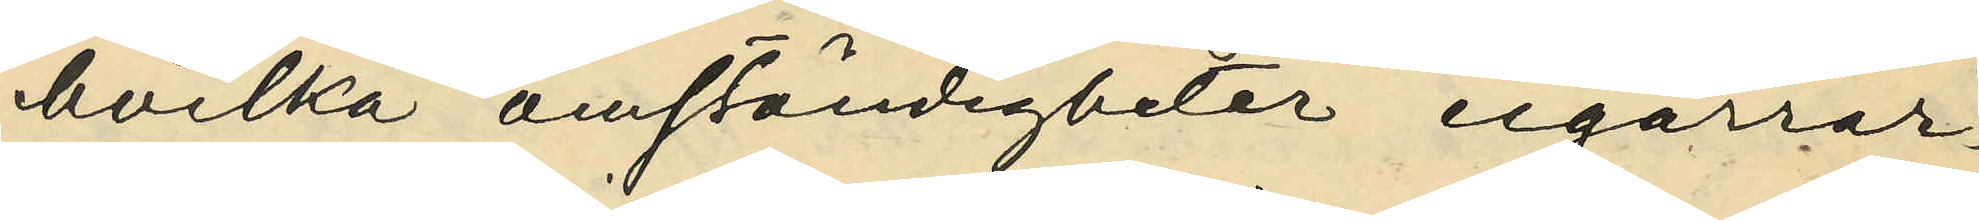hvilka omständigheter cigarrar¬
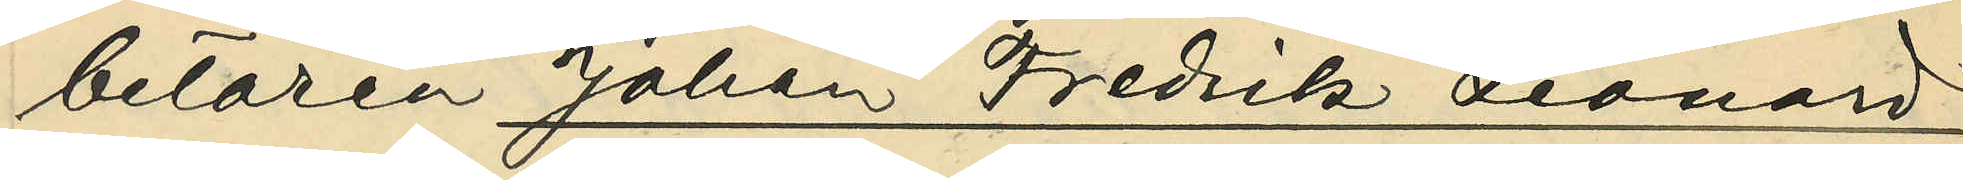betaren Johan Fredrik Leonard
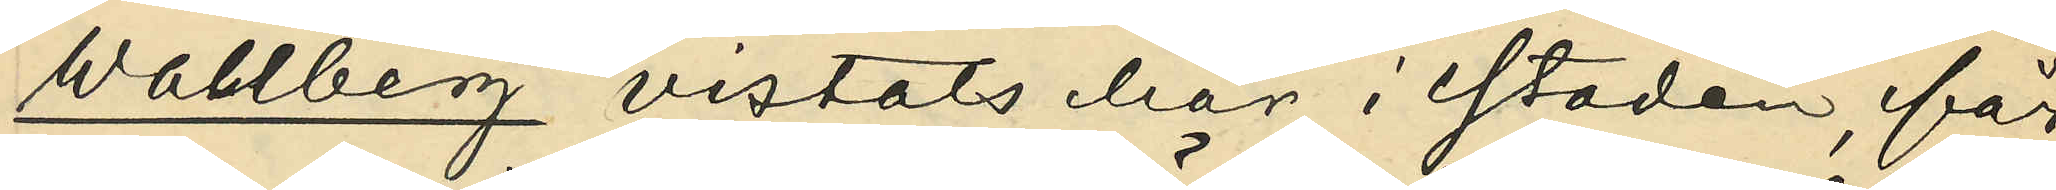Wahlberg vistats här i staden, får
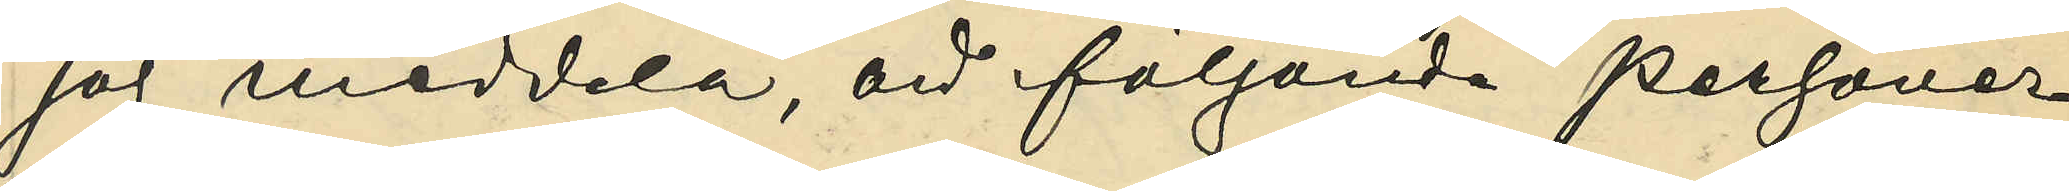jag meddela, att följande personer
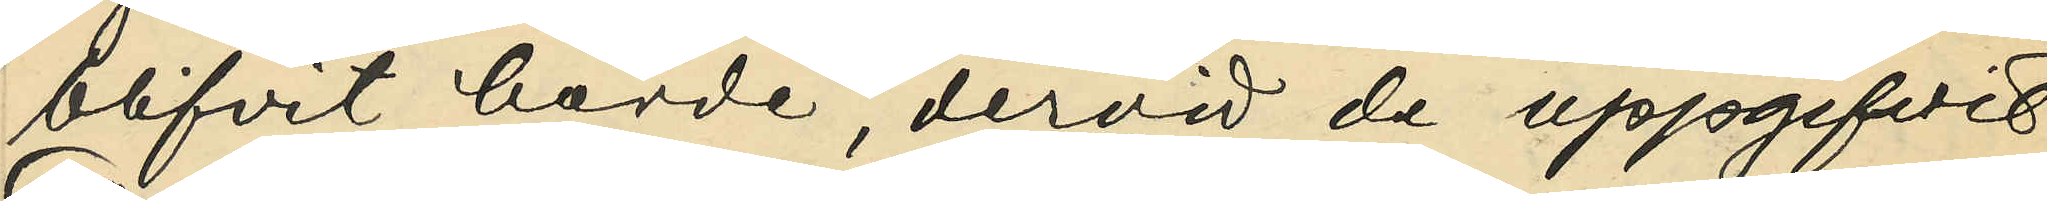blifvit hörde, dervid de uppgifivt:
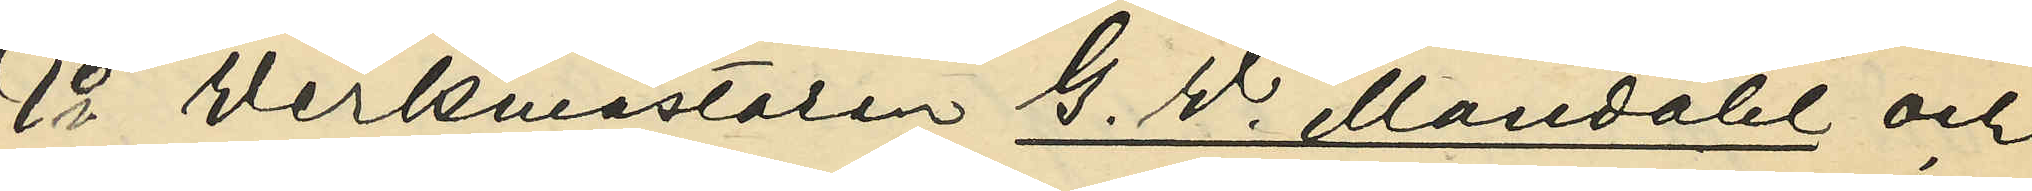1o Werkmästaren G. W. Mandahl och
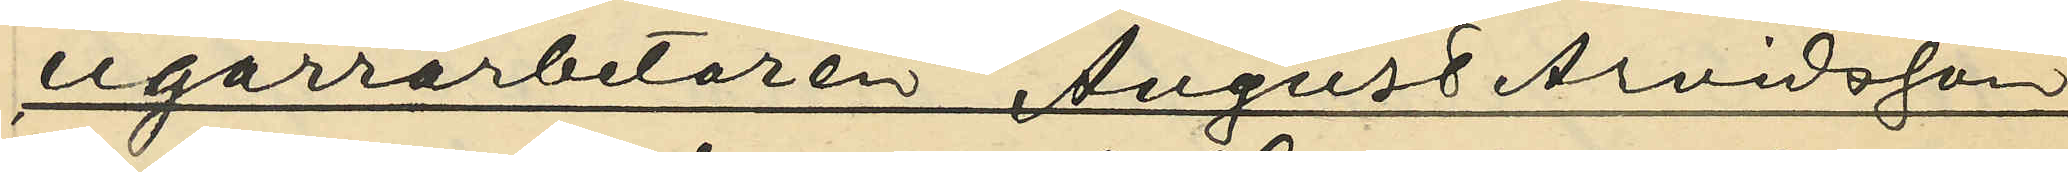cigarrarbetaren August Arvidsson,
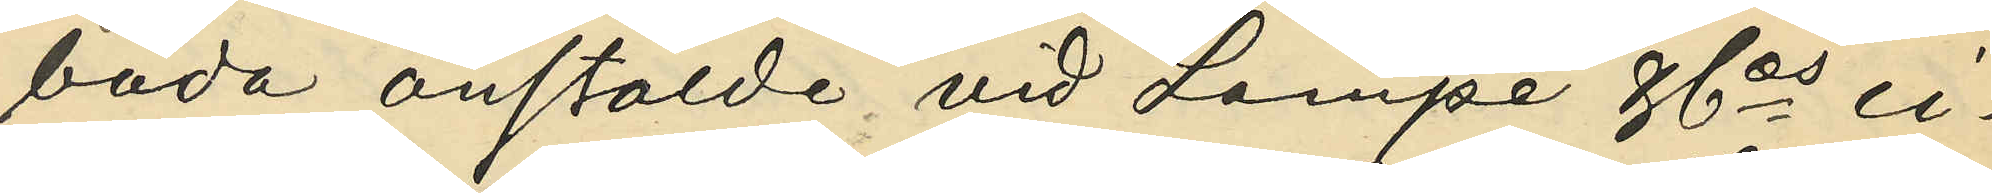båda anstälde vid Lampe & Cos ci¬
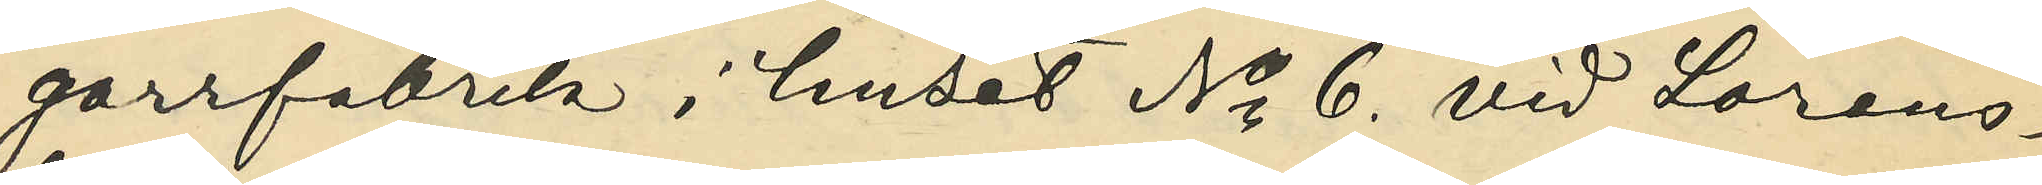garrfabrik i huset No 6. vid Lorens¬
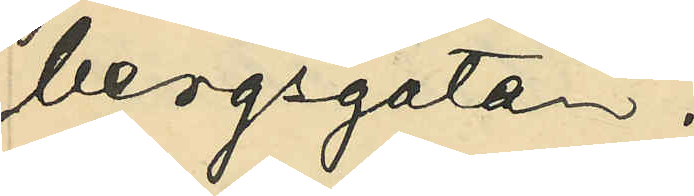bergsgatan:
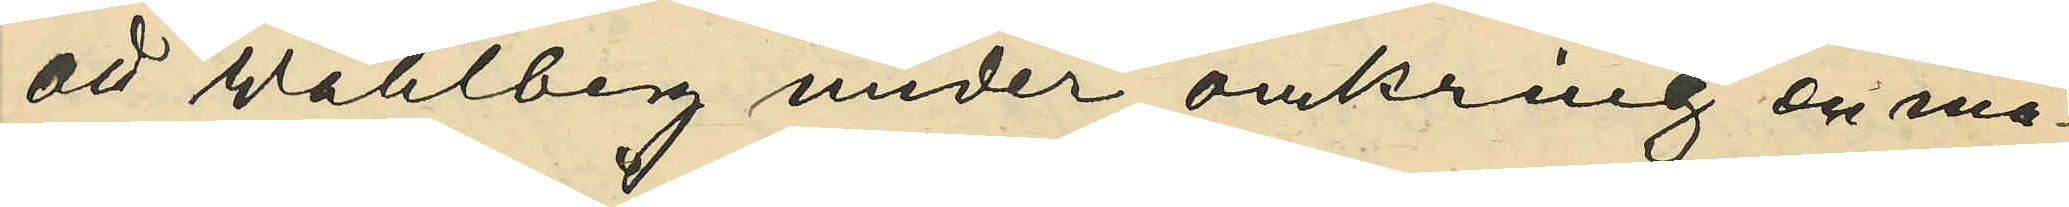att Wahlberg under omkring en må¬
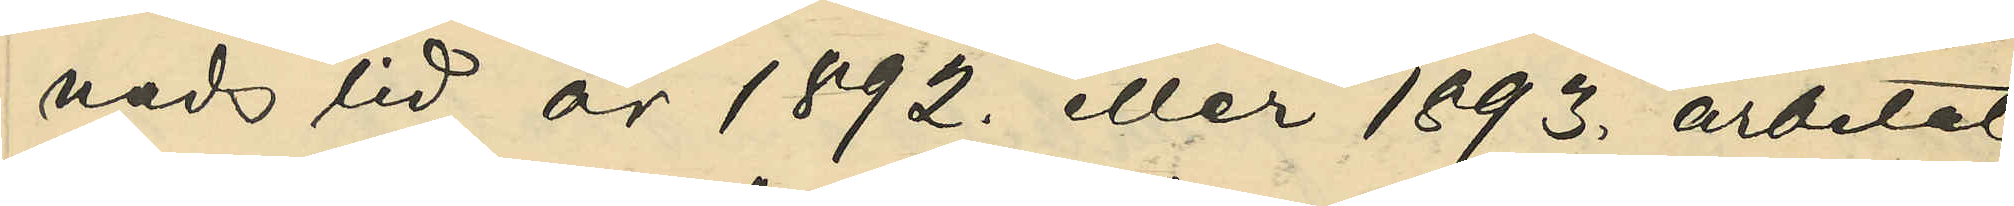nads tid år 1892. eller 1893. arbetat
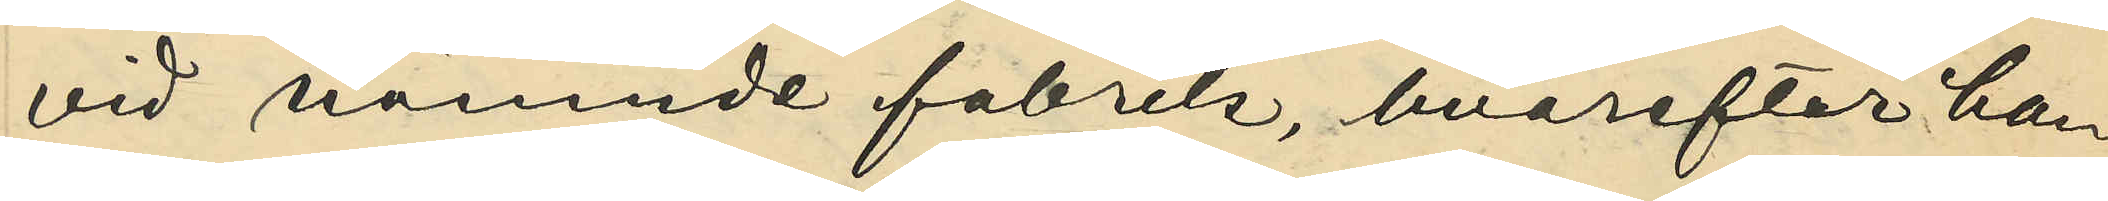vid nämnde fabrik, hvarefter han
